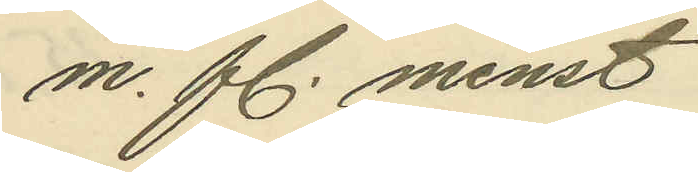m. fl. minst
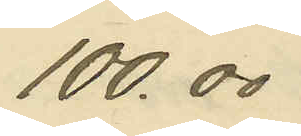100.00
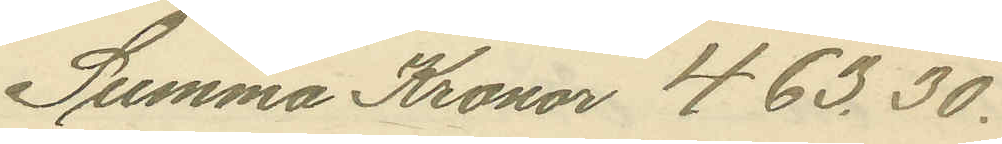Summa Kronor 463.30.
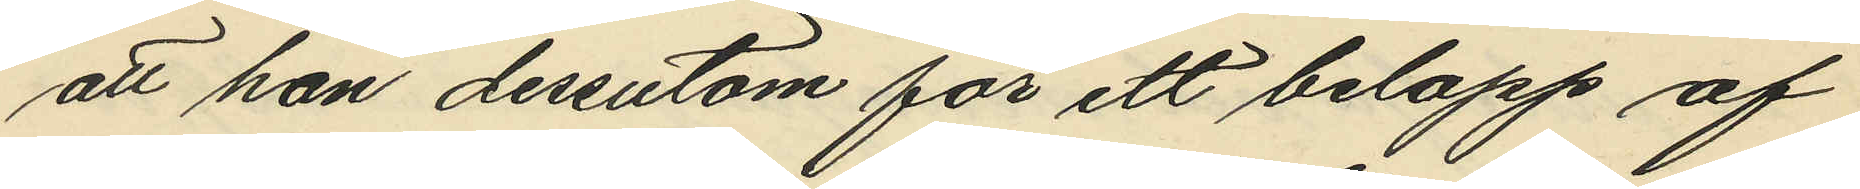att han dessutom för ett belopp af
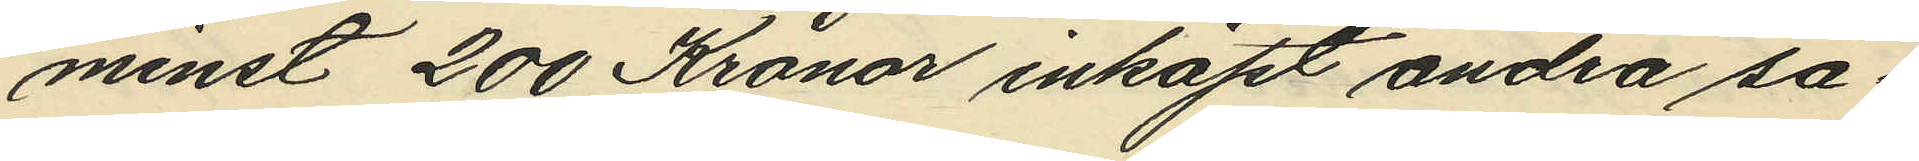minst 200 Kronor inköpt andra sa¬
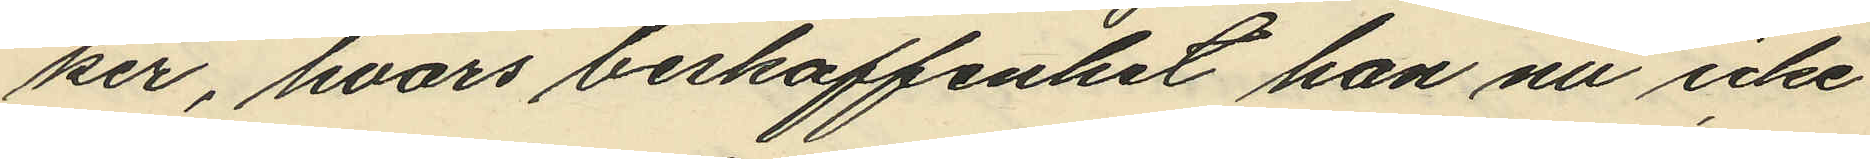ker, hvars beskaffenhet han nu icke
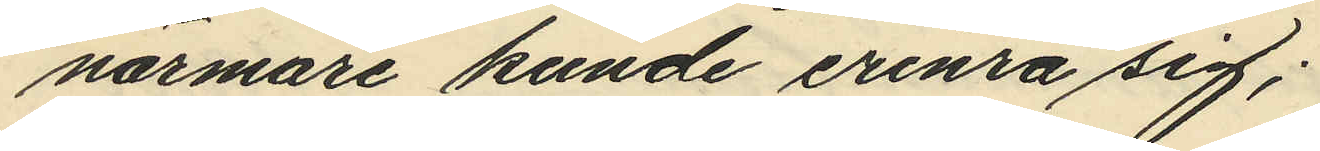närmare kunde erinra sig;
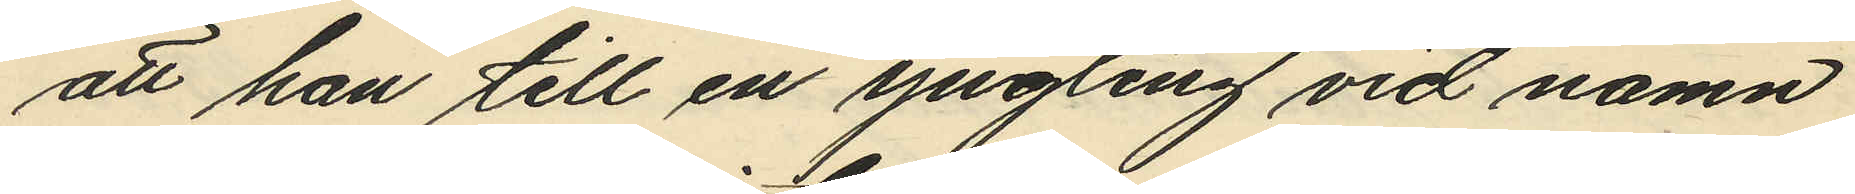att han till en yngling vid namn
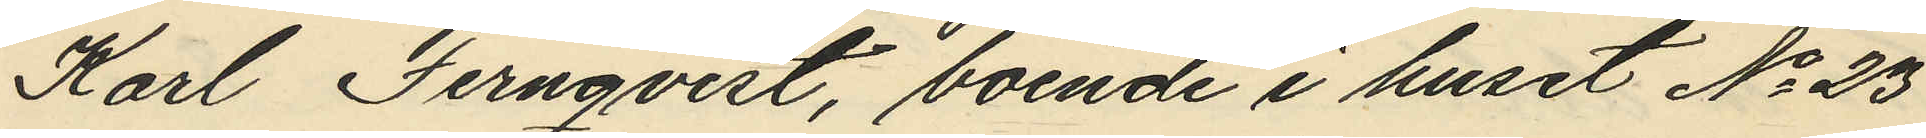Karl Fernqvist, boende i huset No 23
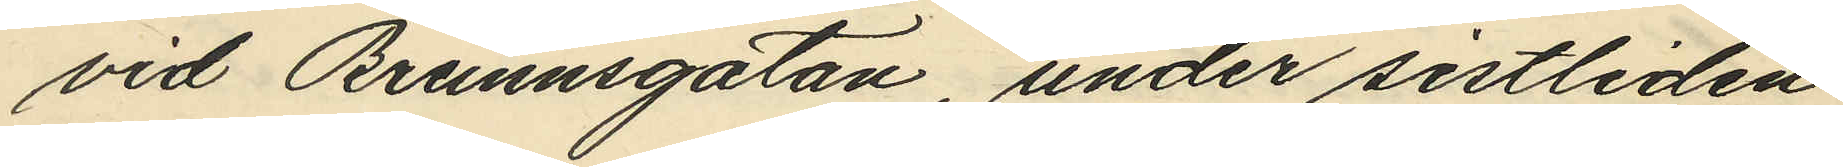vid Brunnsgatan, under sistliden
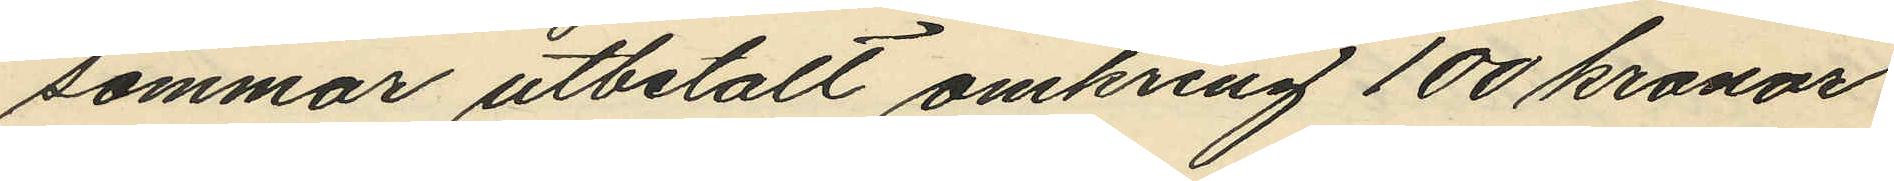sommar utbetalt omkring 100 kronor
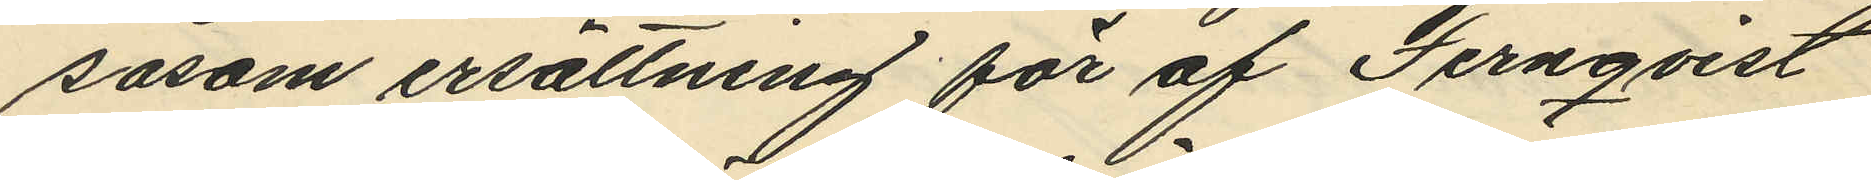såsom ersättning för af Fernqvist
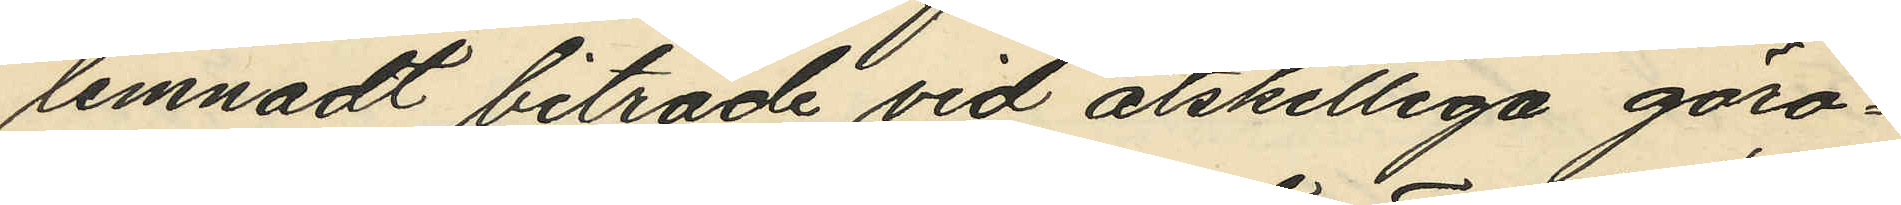lemnadt biträde vid åtskilliga göro¬
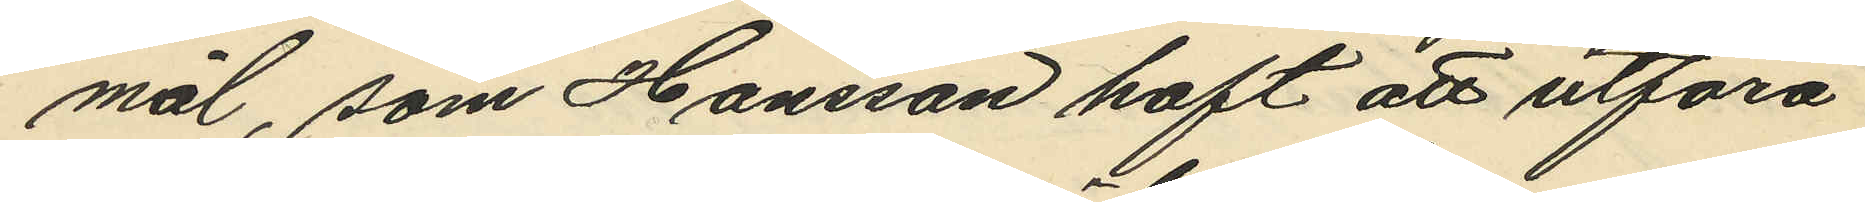mål, som Hansson haft att utföra
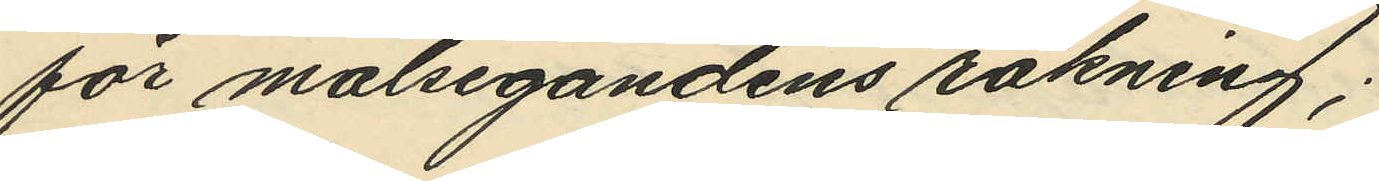för målsegandens räkning;
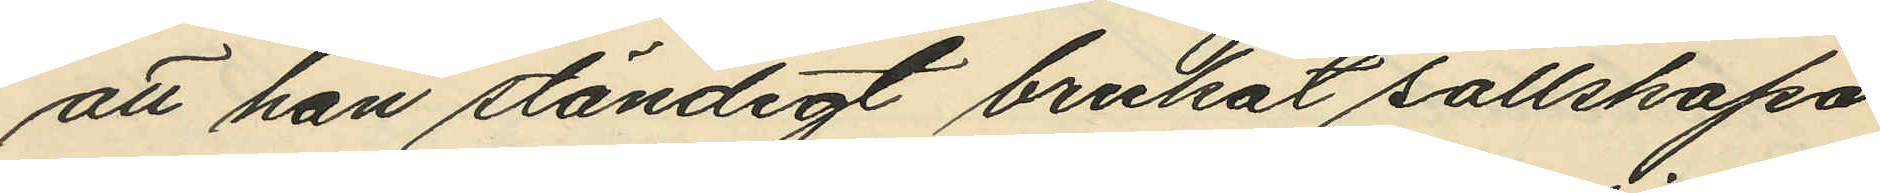att han ständigt brukat sällskapa
